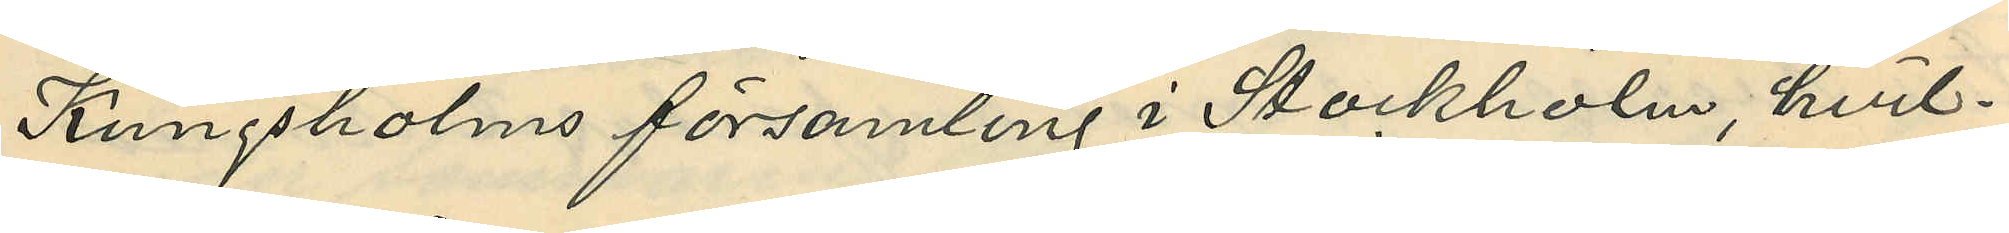Kungsholms församling i Stockholm hvil¬
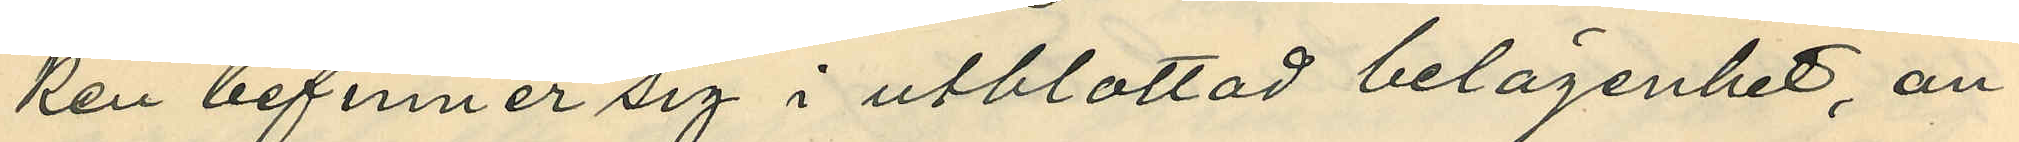ken befinner sig i utblottad belägenhet, an¬
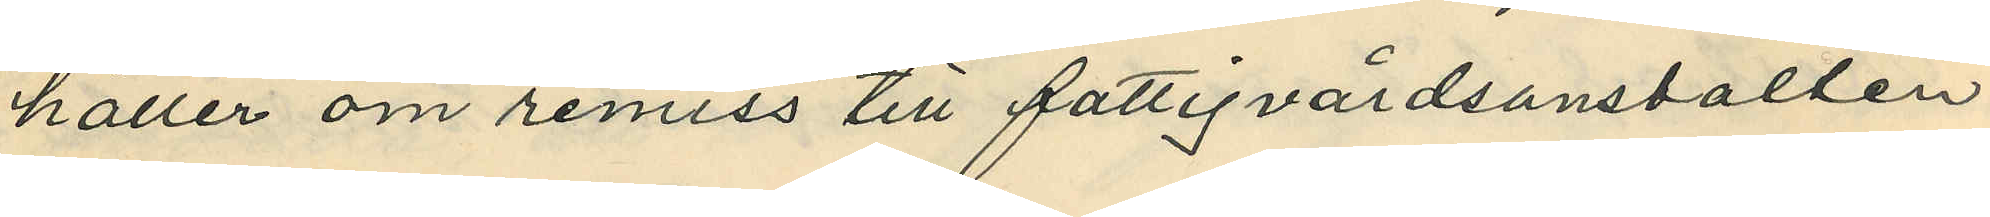håller om remiss till fattigvårdsanstalten
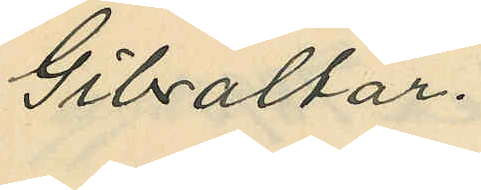Gibraltar.
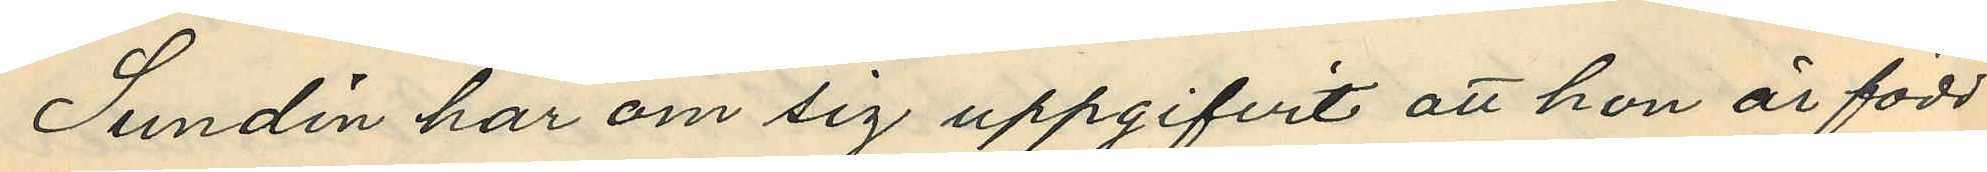Sundin har om sig uppgifvit att hon är född
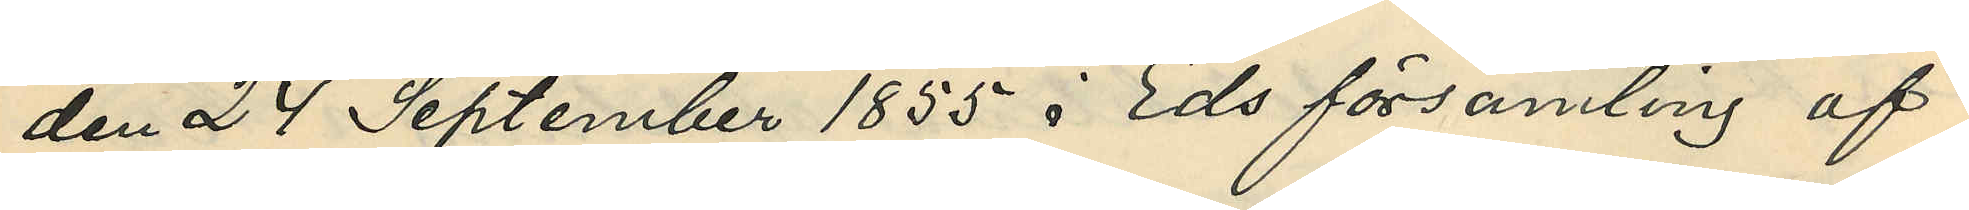den 24 September 1855 i Eds församling af
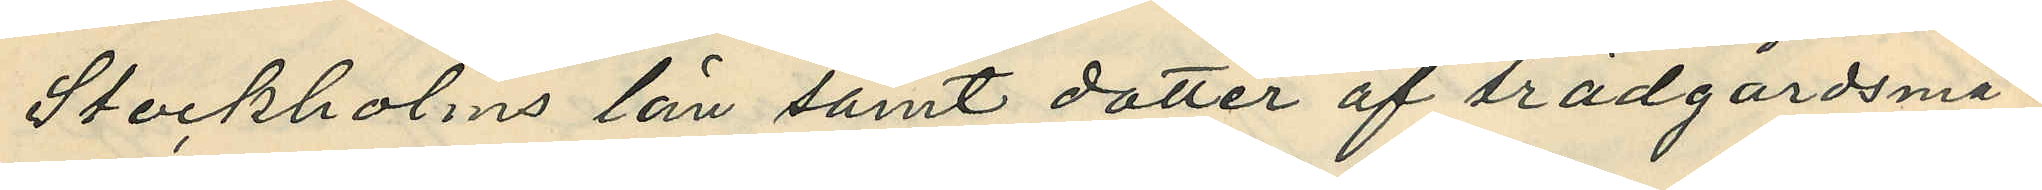Stockholms län samt dotter af trädgårdsmä¬
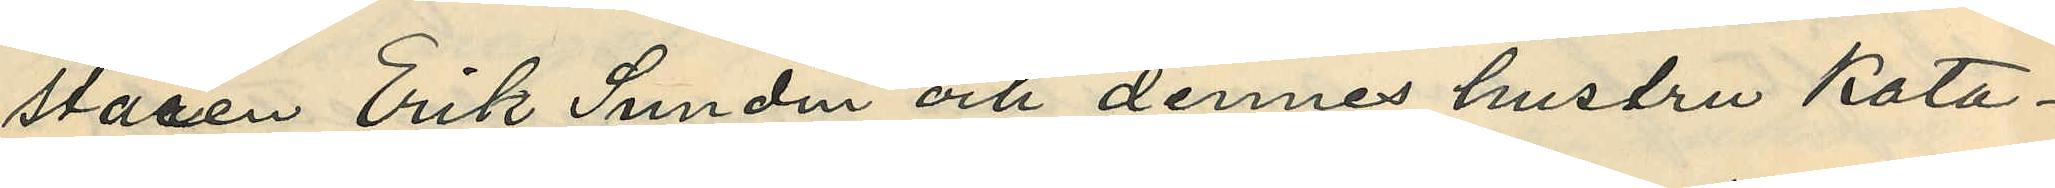staren Erik Sundin och dennes hustru kata¬
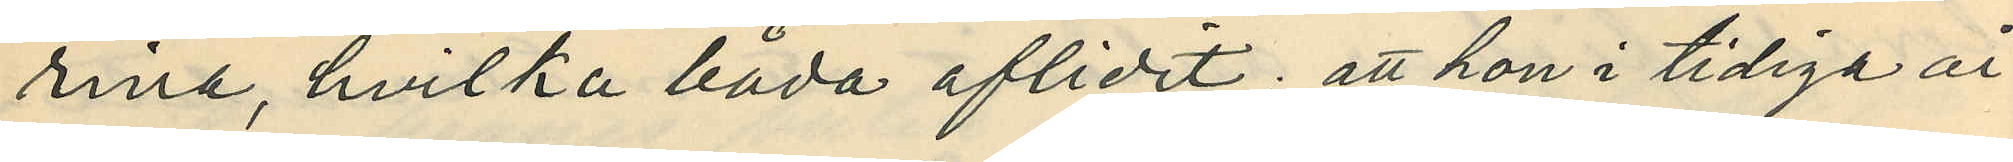rina, hvilka båda aflidit; att hon i tidiga år
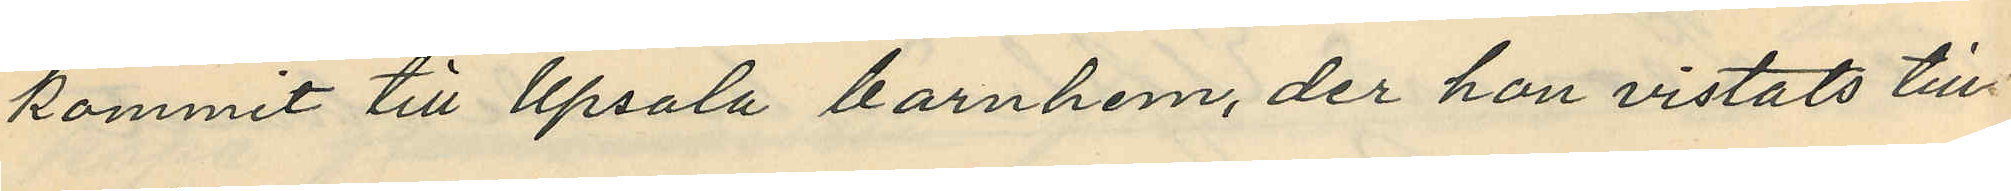kommit till Upsala barnhem, der hon vistats till
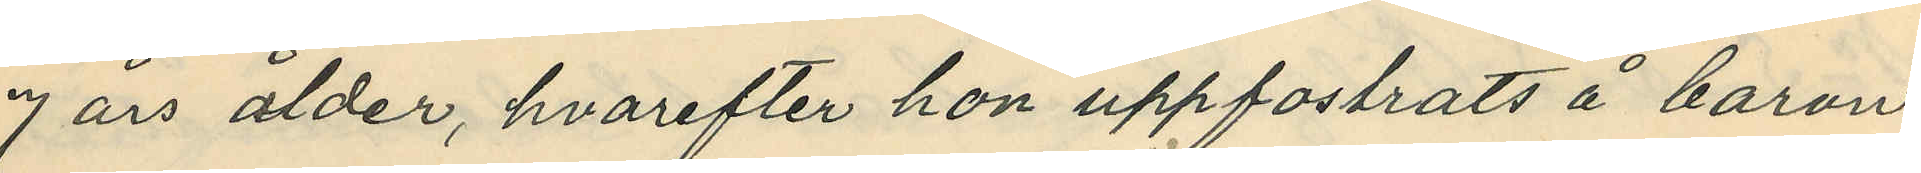7 års ålder, hvarefter hon uppfostrats å baron
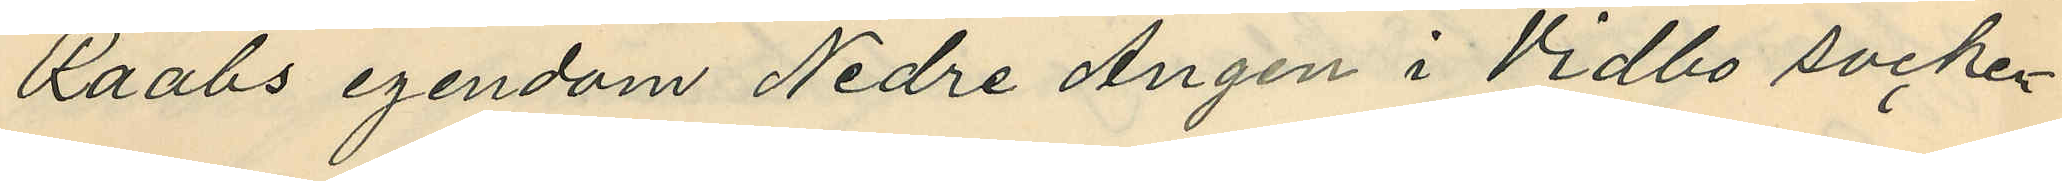Raabs egendom Nedre Ängen i Vidbo socken
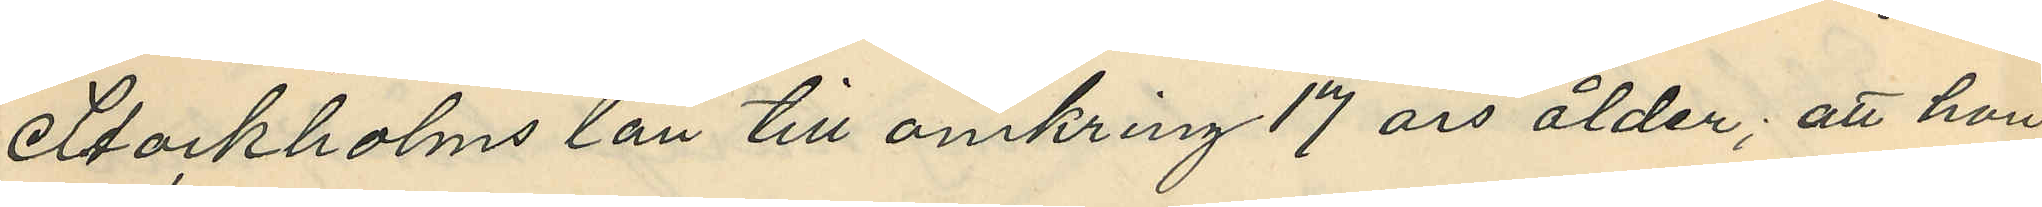Stockholms län till omkring 17 års ålder; att hon
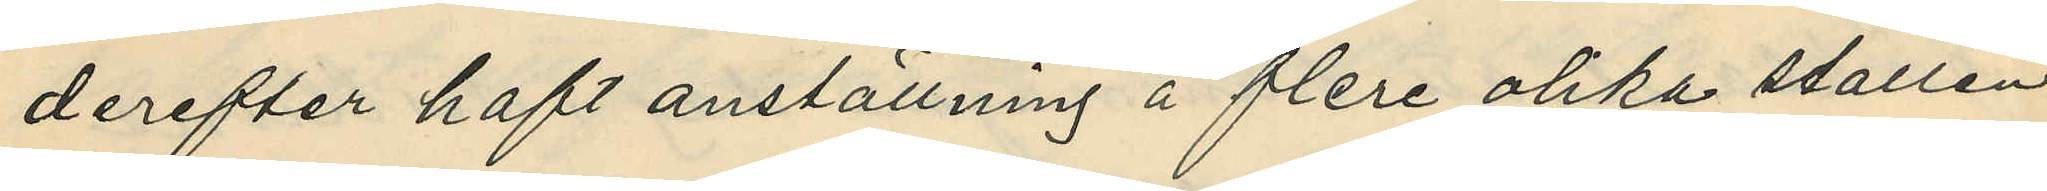derefter haft anställning å flere olika ställen
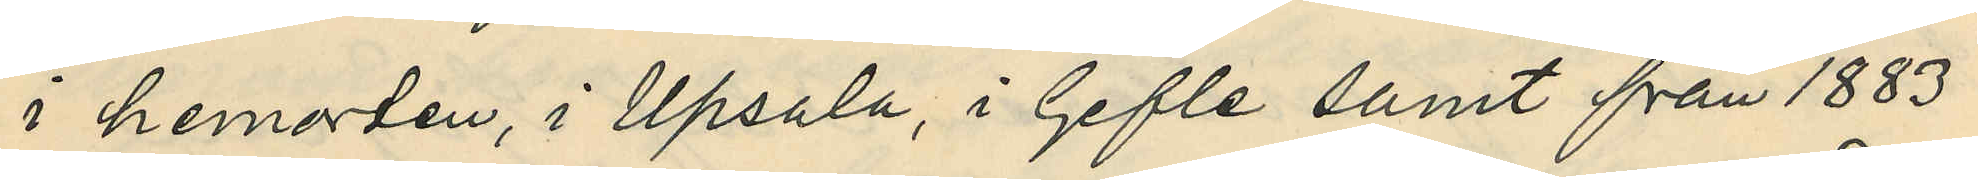i hemorten, i Upsala, i Gefle samt från 1883
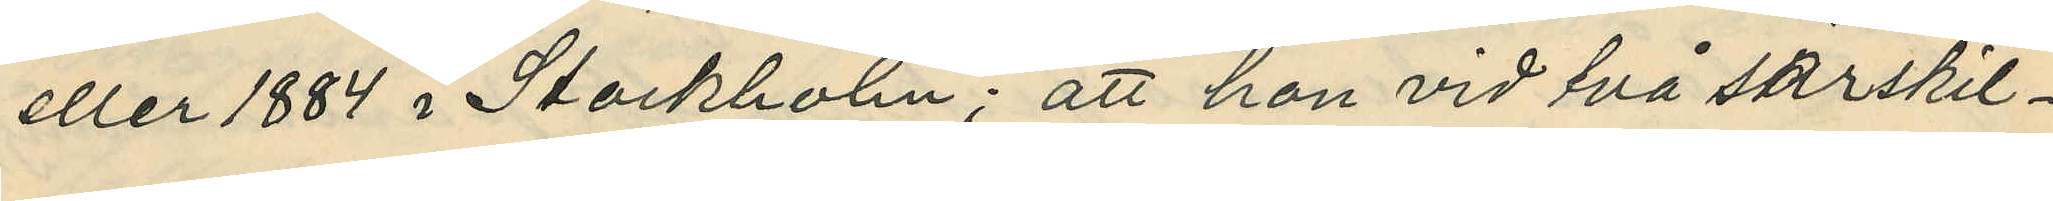eller 1884 i Stockholm; att hon vid två särskil¬
